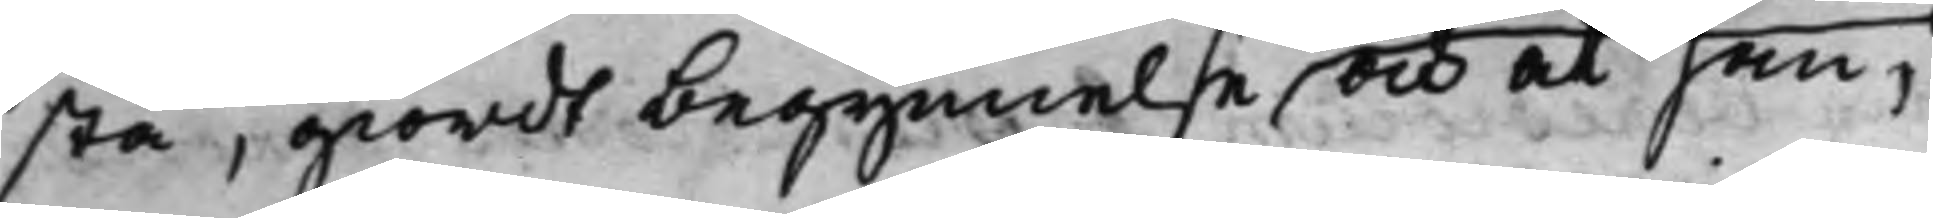stå, giordt begynnelse, och at han,
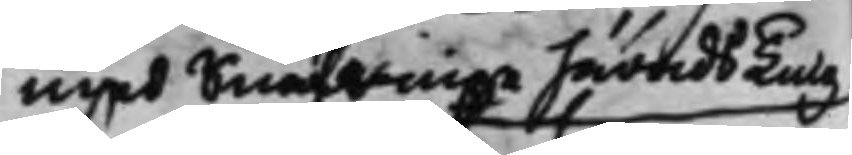med Snäfringe härads Ting
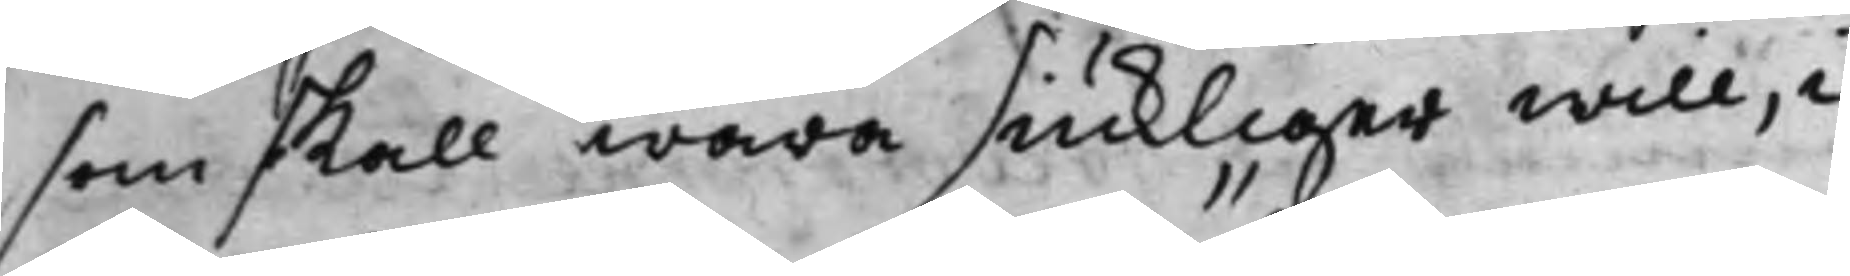som skall wara siukliger will, i
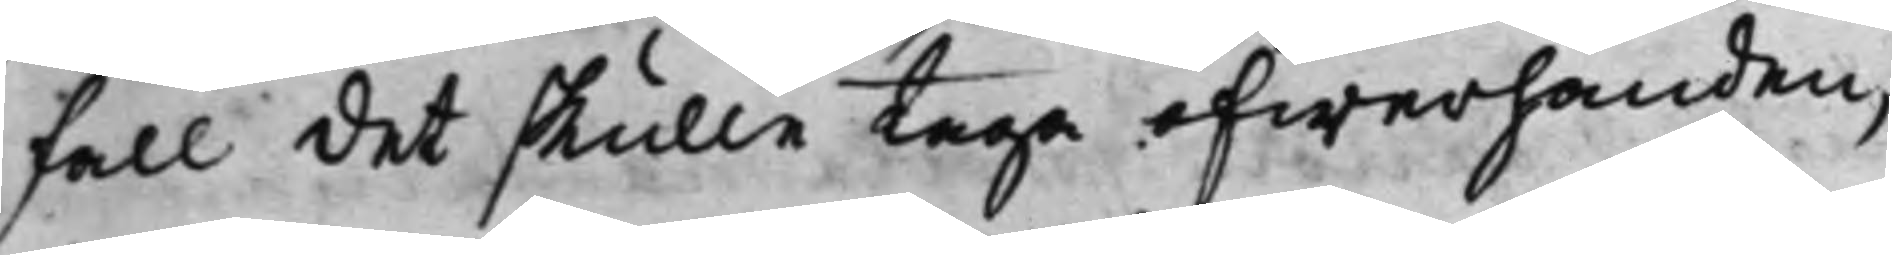fall det skulle taga öfwerhanden,
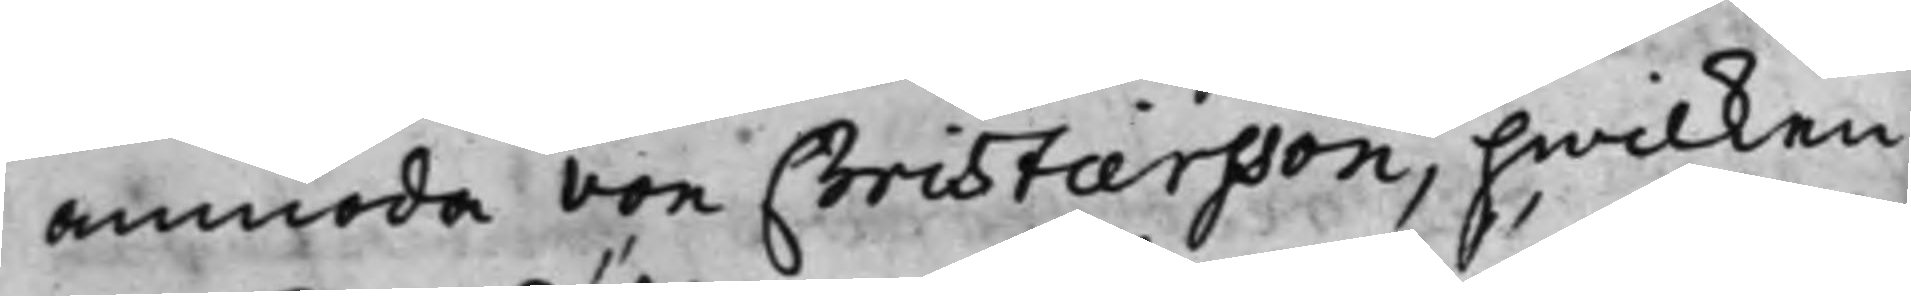anmoda von Christiersson, hwilken
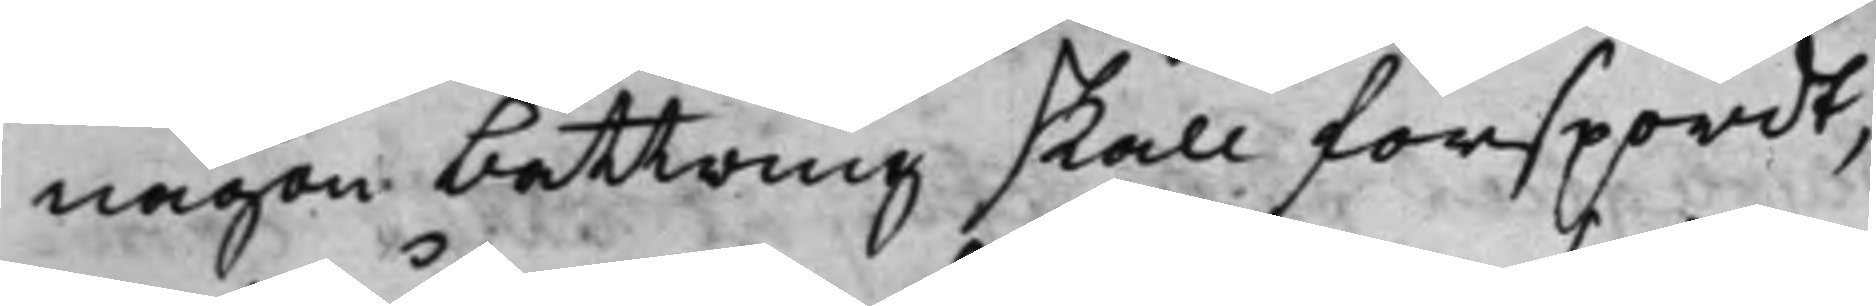någon bättring skall förspordt,
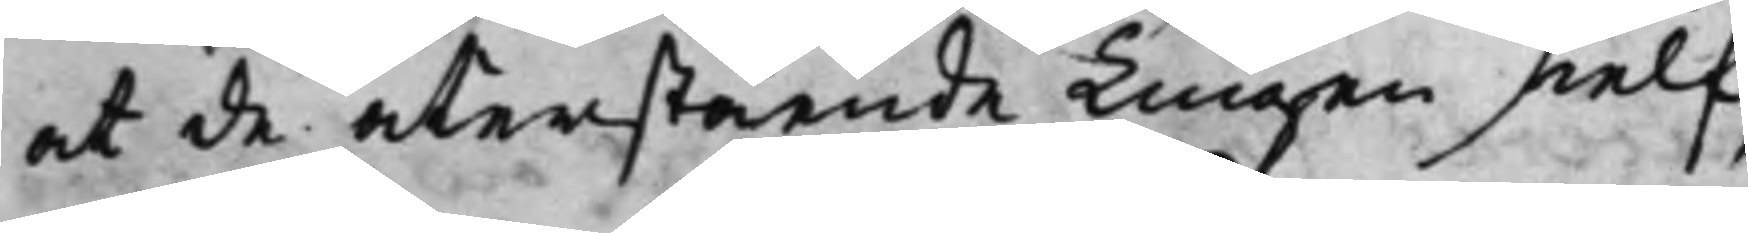at de återstående Tingen sielf
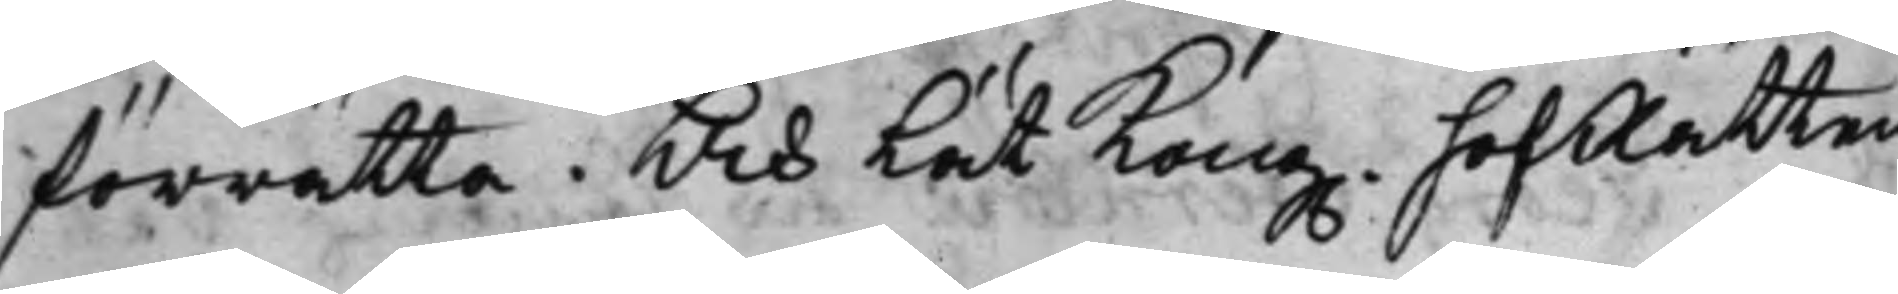förrätta. Och Lät Kong. HofRätten
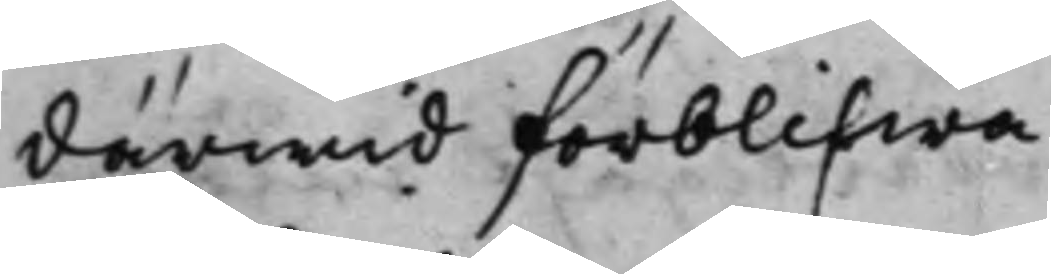därwid förblifwa.
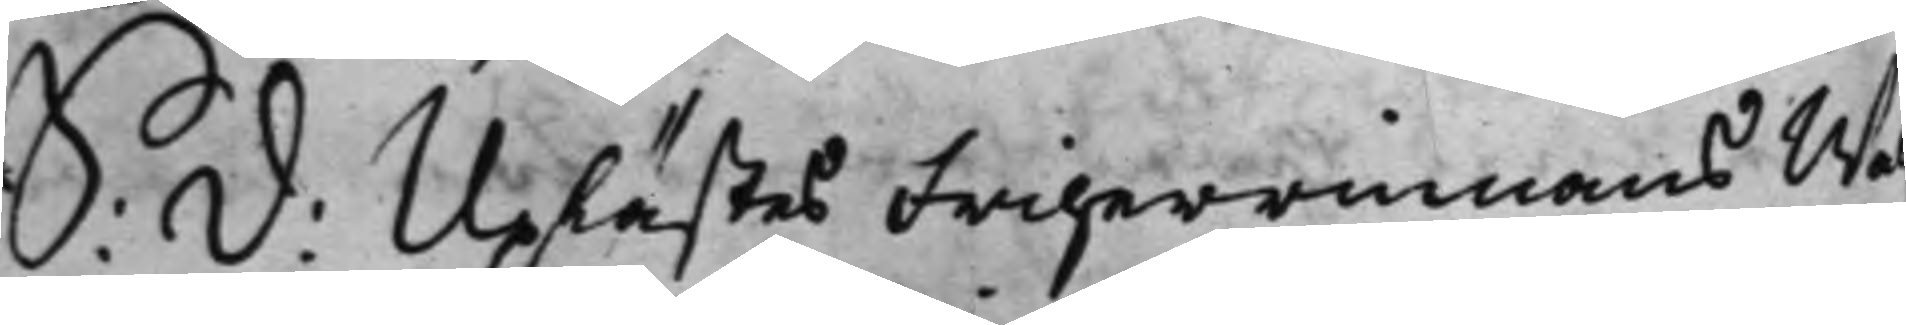S: D: Uplästes Friherrinnans Wäl¬
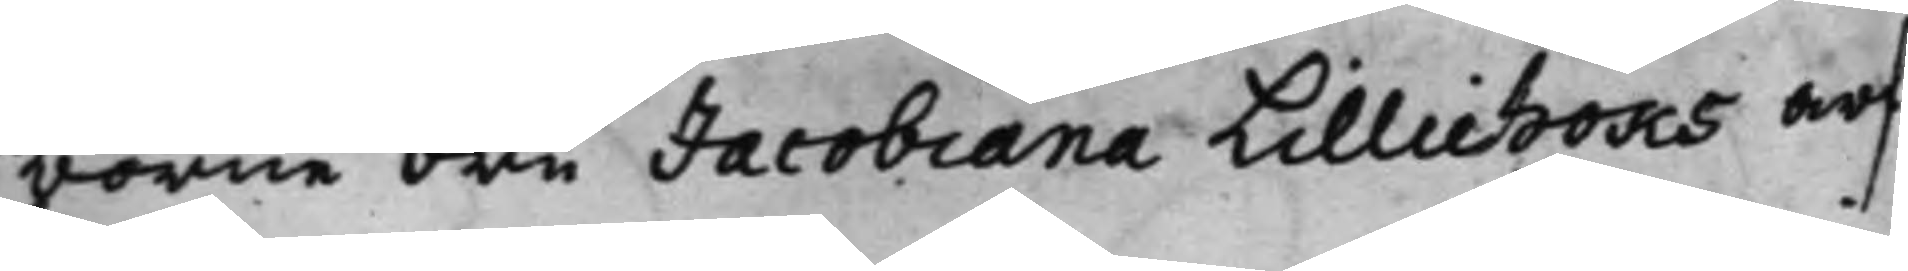borne Fru Jacobiana Lilliehöks arf¬
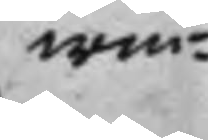win¬
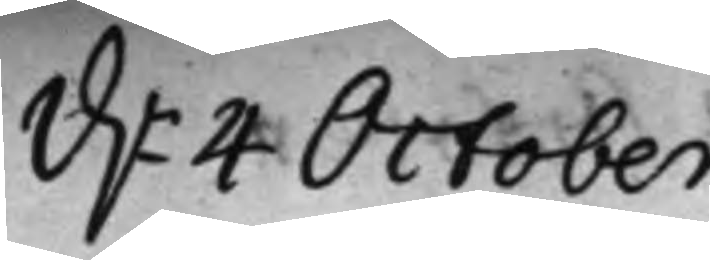d. 4 October.
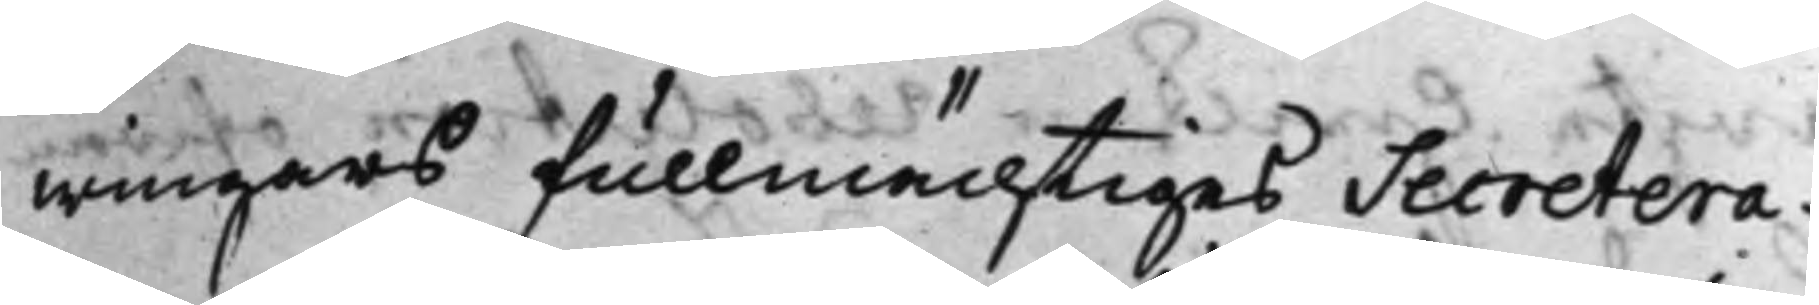wingars fullmächtiges Secretera¬
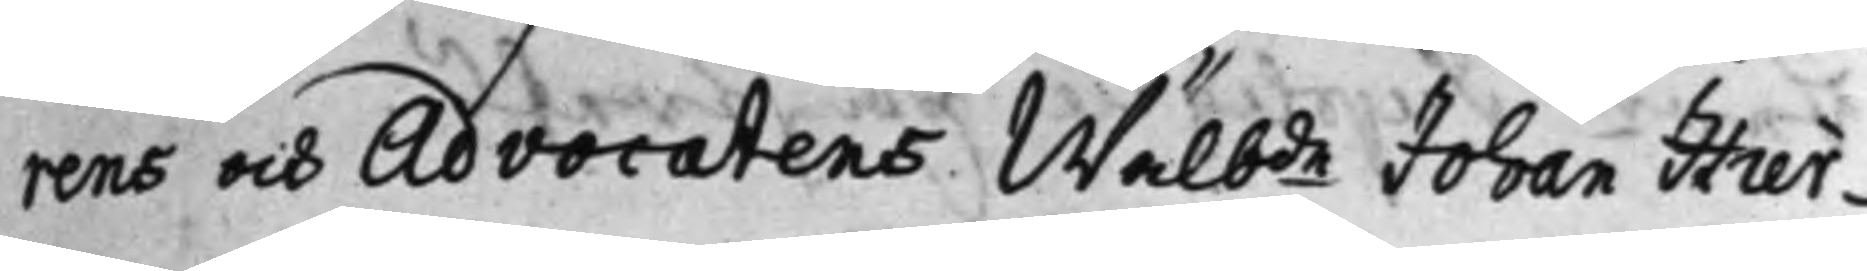rens och Advocatens Wälbde Johan Hier¬
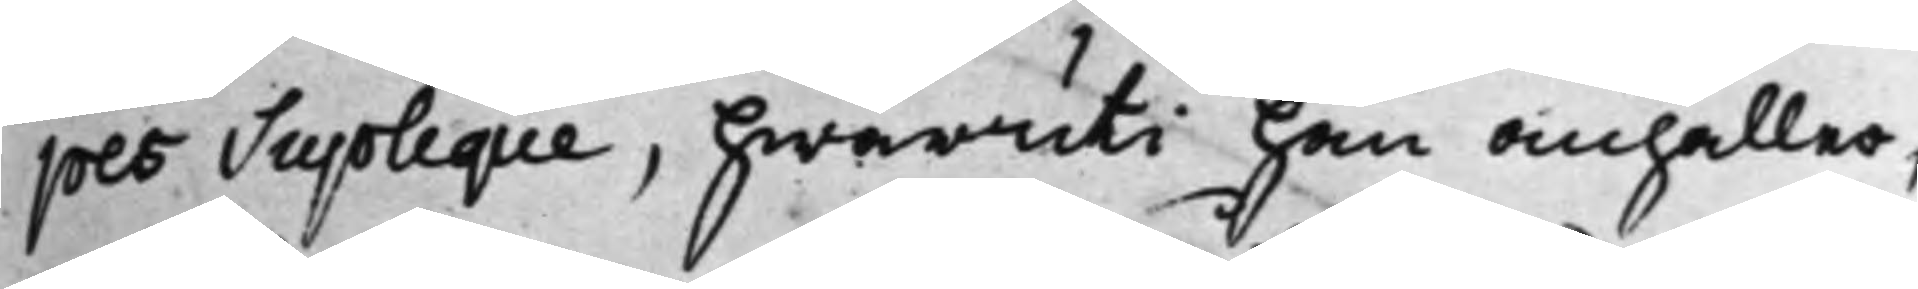pes Supplique, hwaruti han anhåller,
